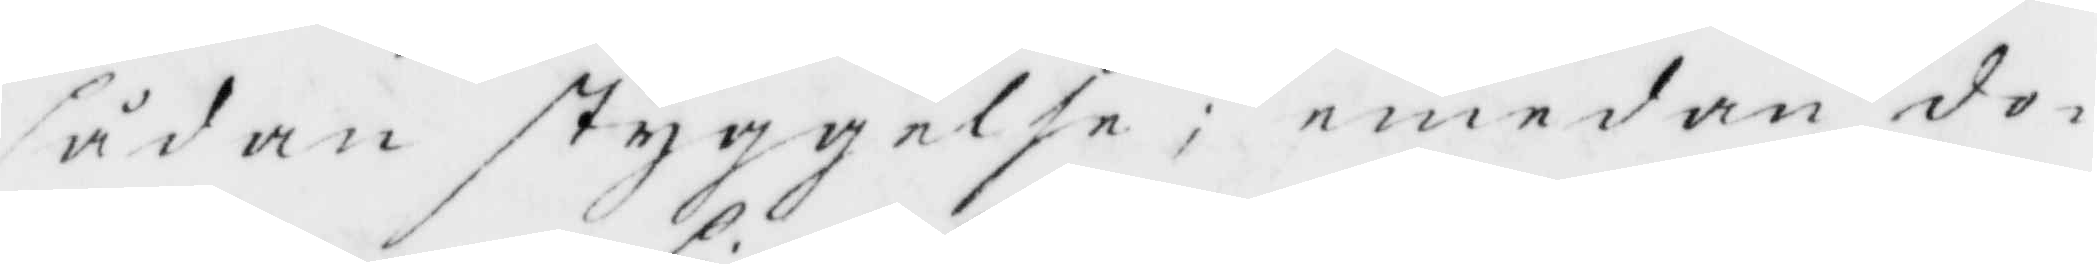sådan styggelse; emedan do¬
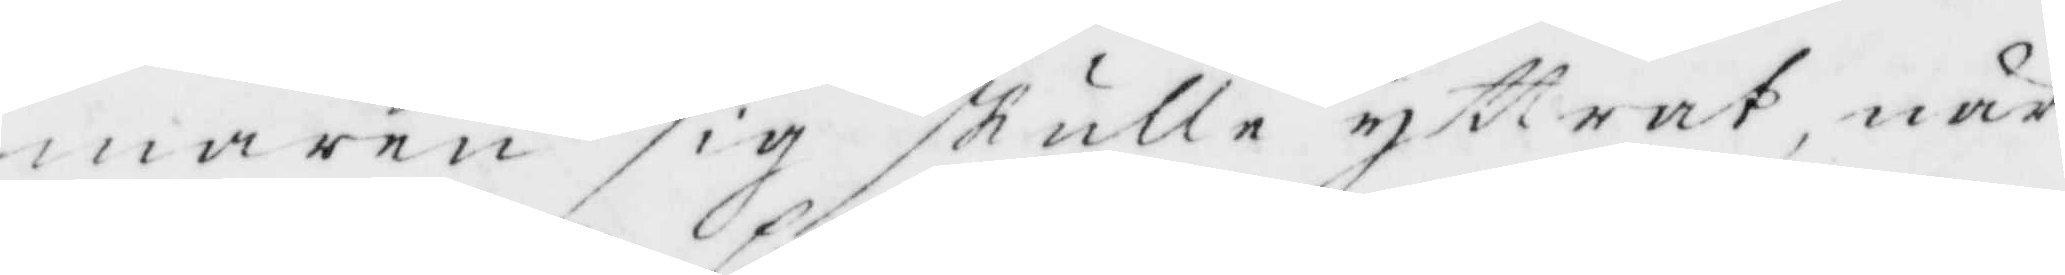maren sig skulle yttrat, när
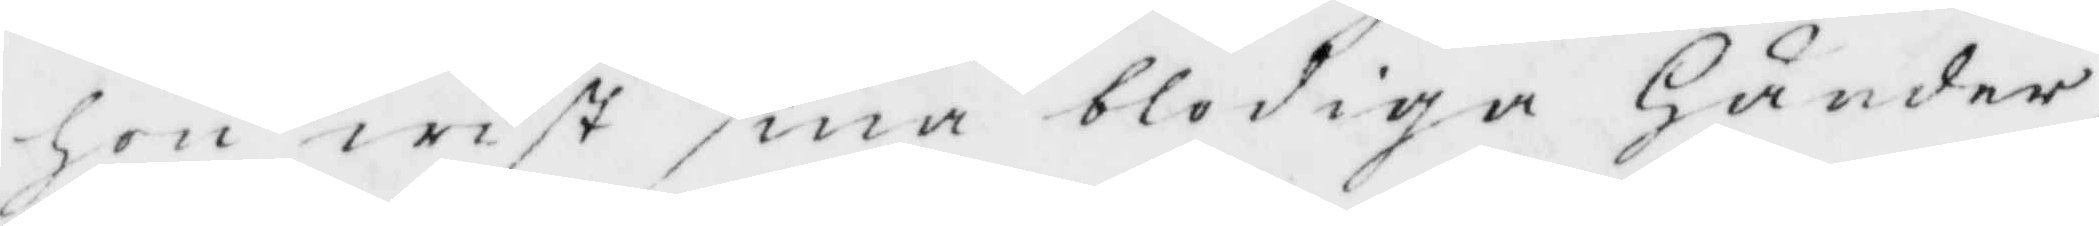hon wist sina blodiga Händer
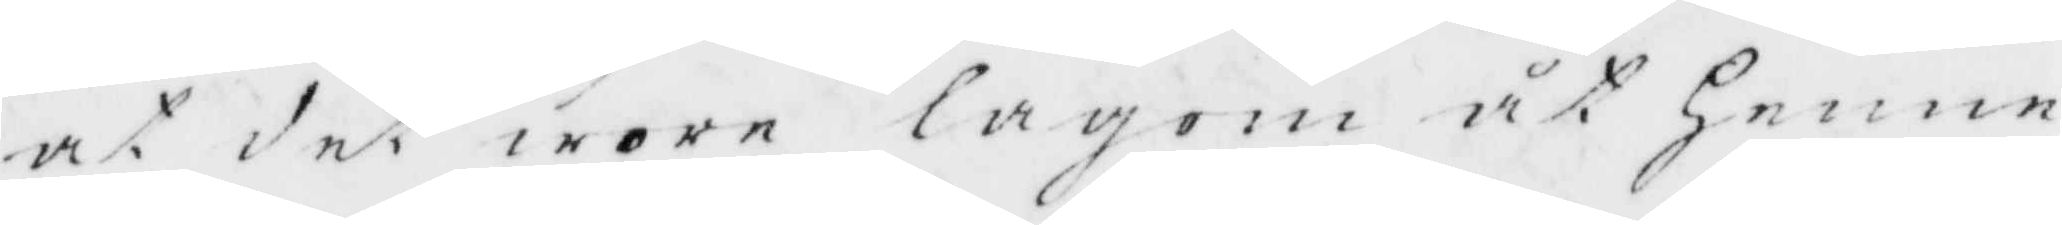at det wore lagom åt henne
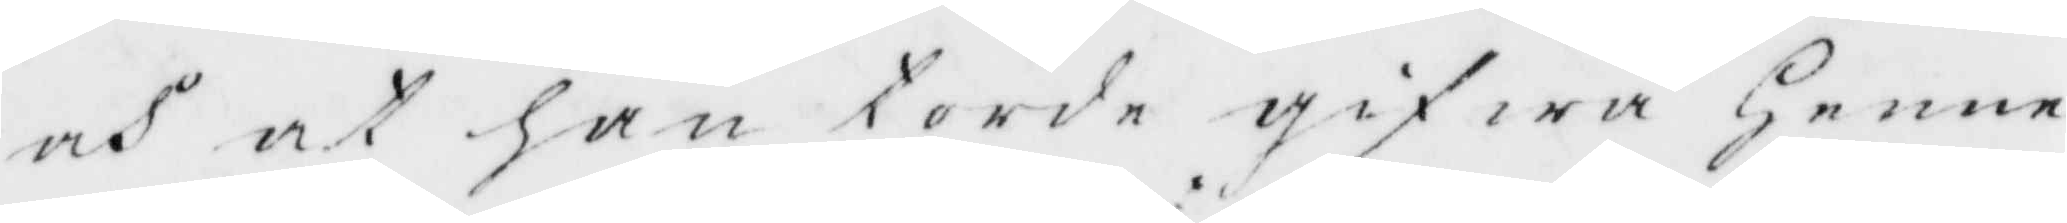och at han torde gifwa henne
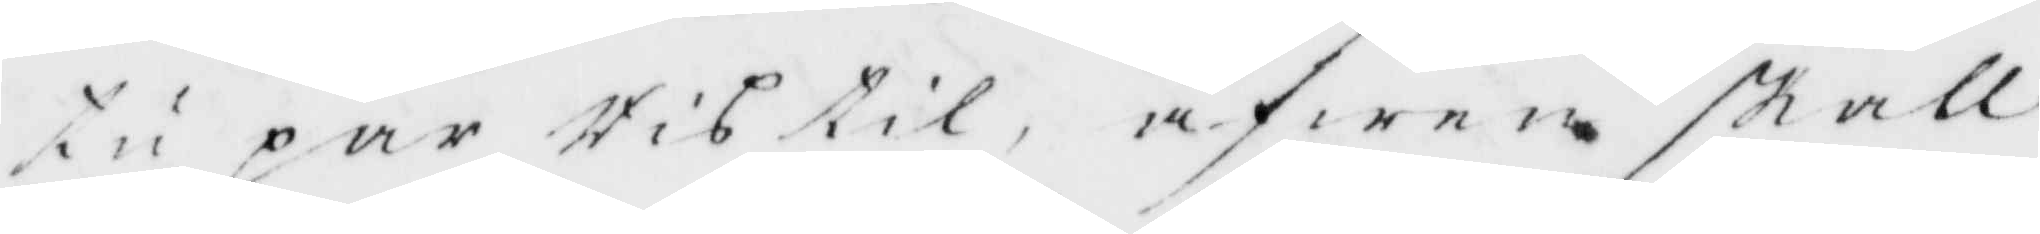tu par Ris til, äfwen skall
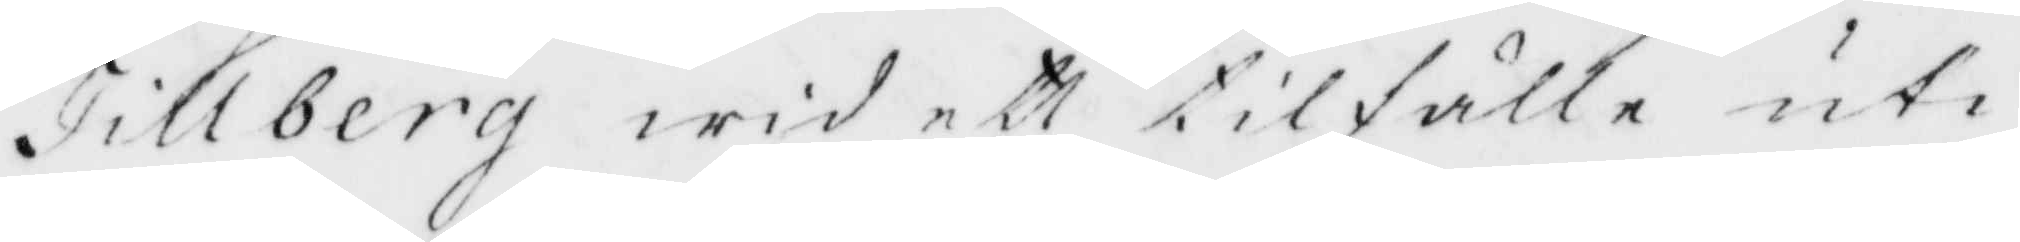Tillberg wid ett tilfälle uti
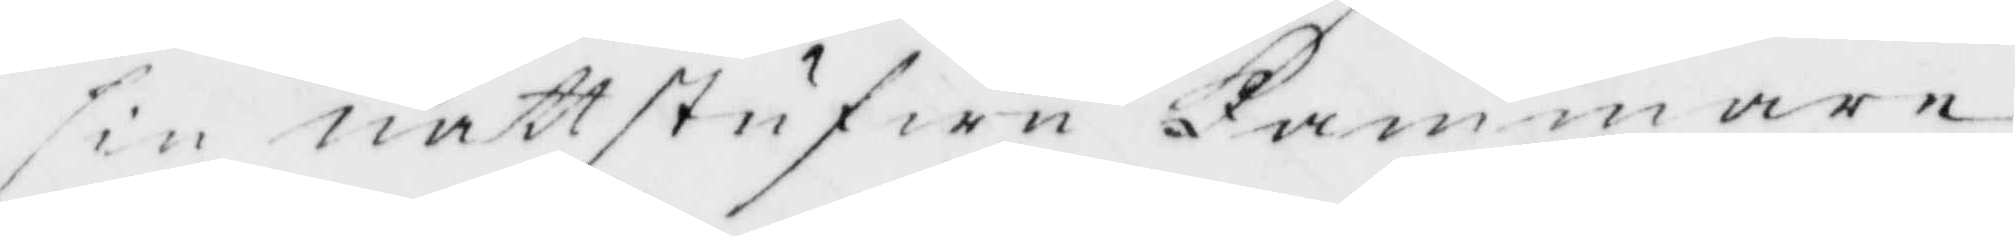sin nattstufwu kammare
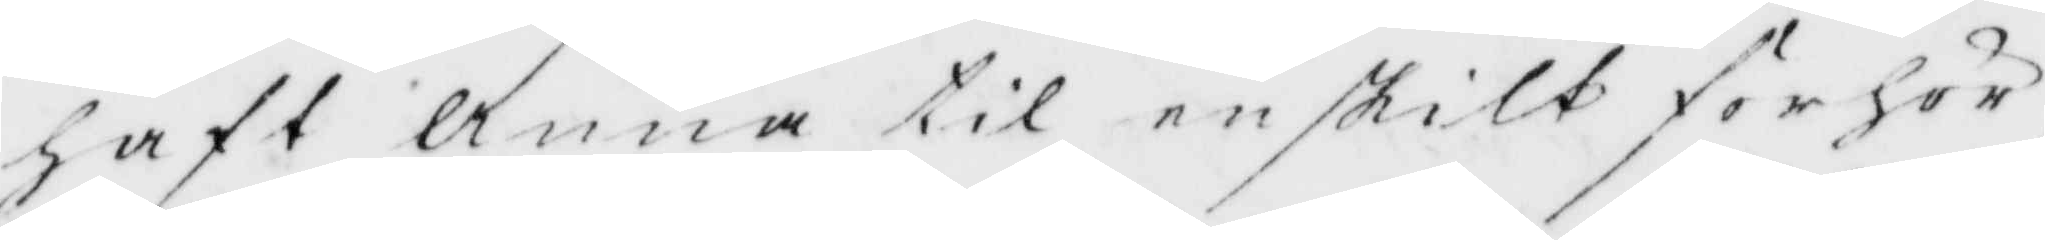haft Anna til enskilt förhör
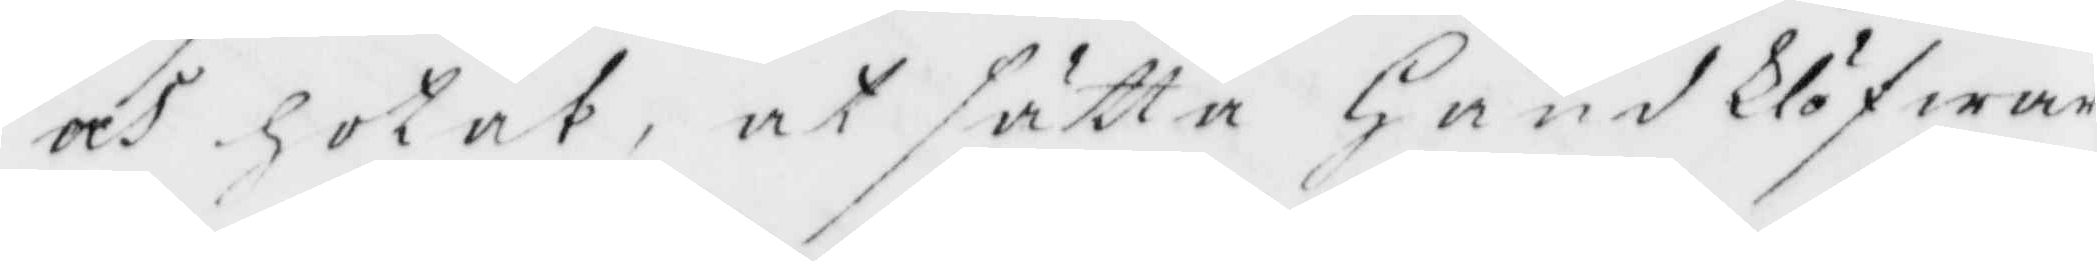och hotat, at sätta HandKlöfwar¬
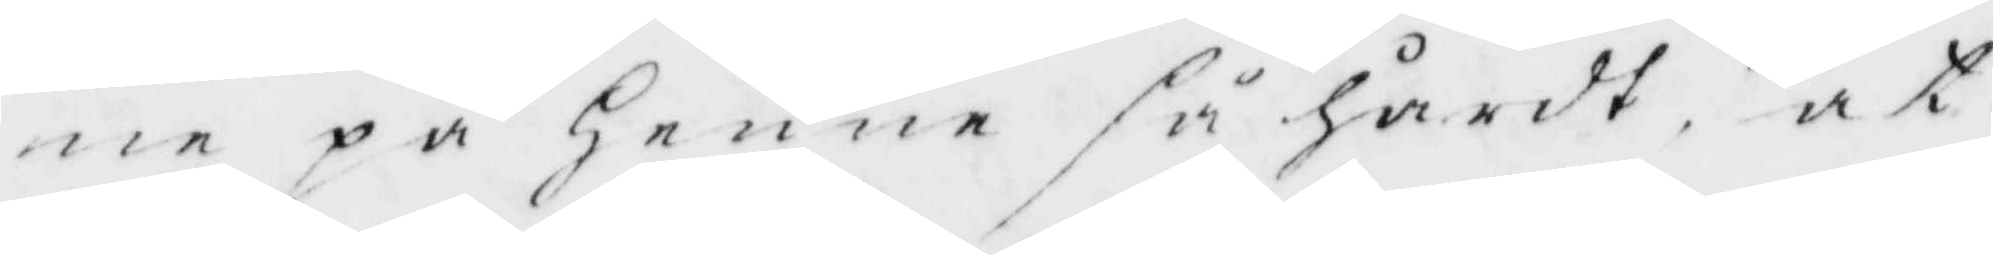ne på Henne så hårdt, at
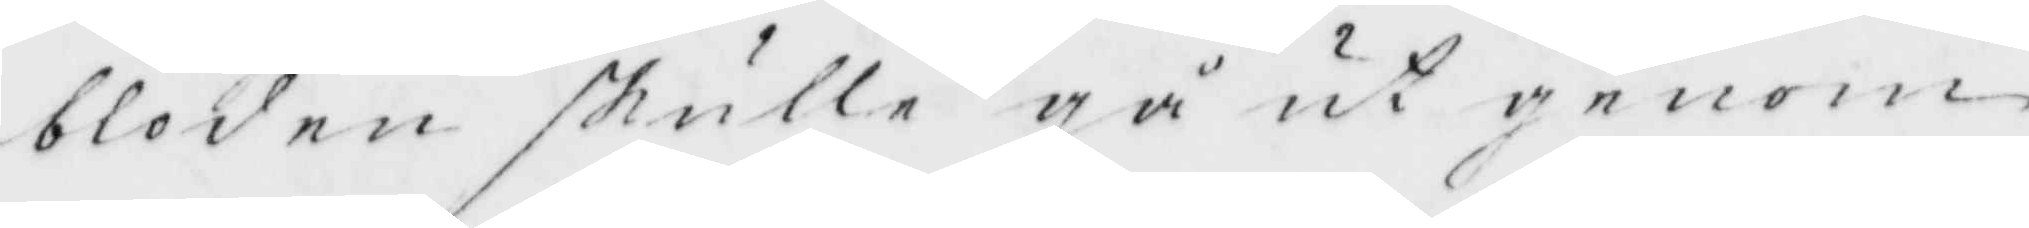bloden skulle gå ut genom
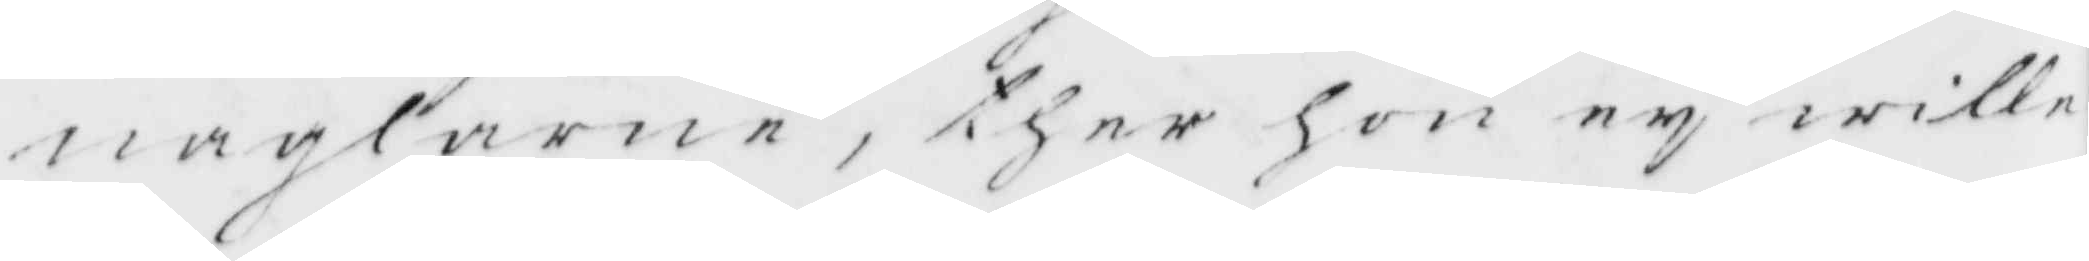naglarna, ther hon ey wille
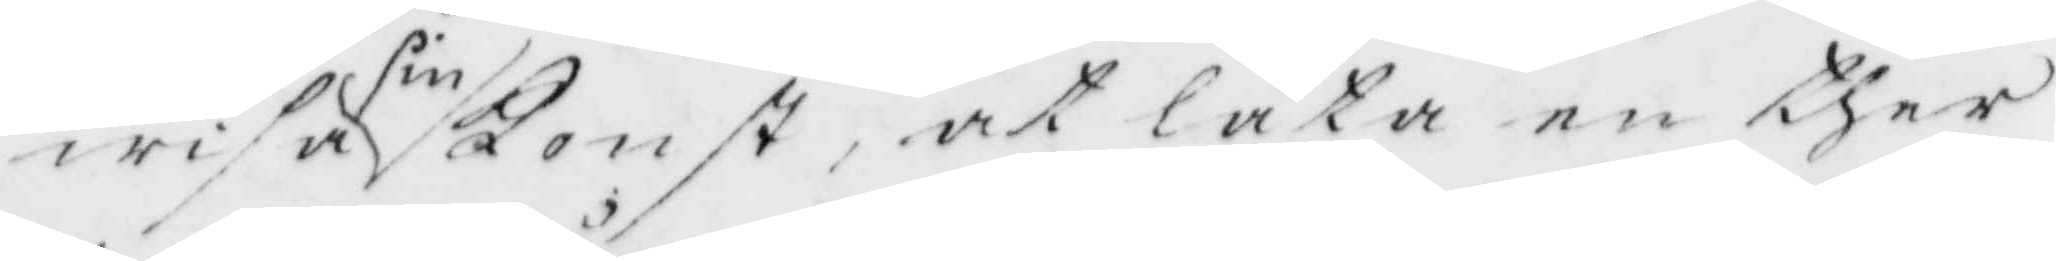wisa sin Konst, at låta en ther
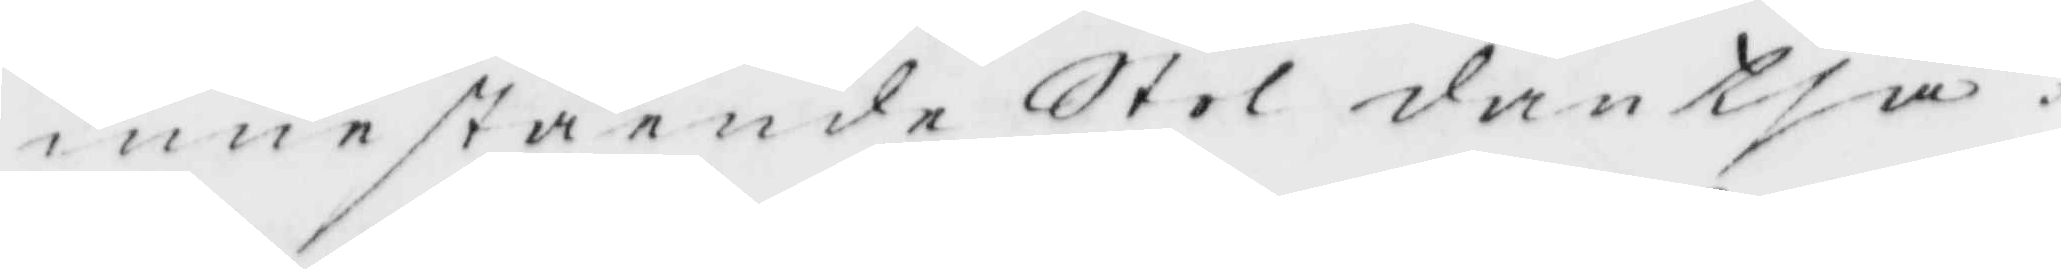innestående Stol dantsa.
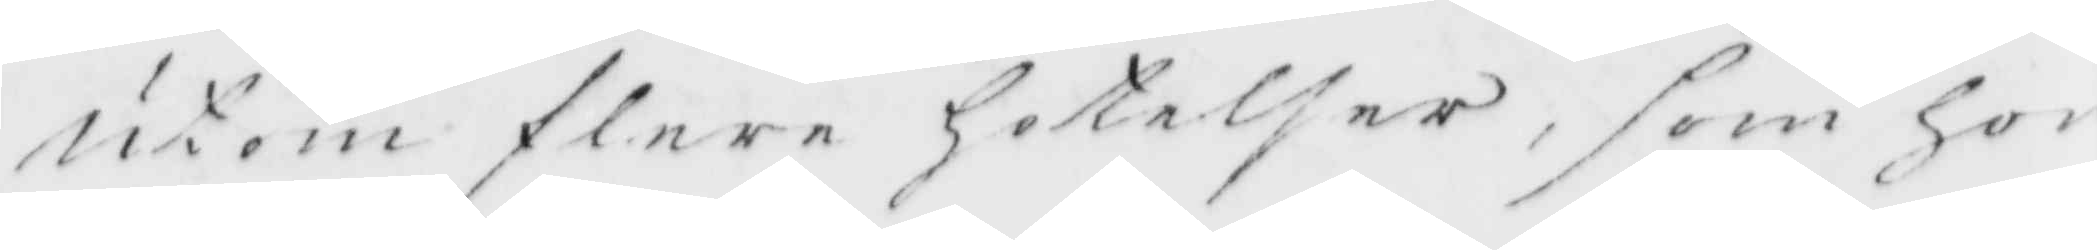Utom flere hotelser som hon
